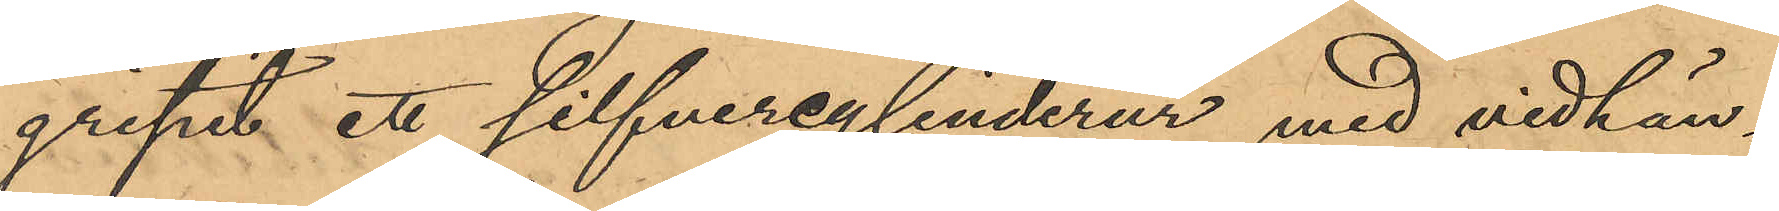gripit ett silfvercylinderur med vidhän¬
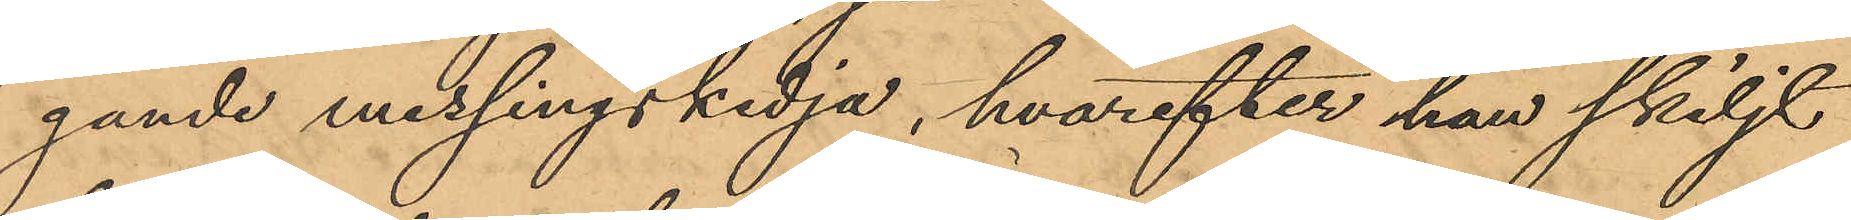gande messingskedja, hvarefter han skiljt
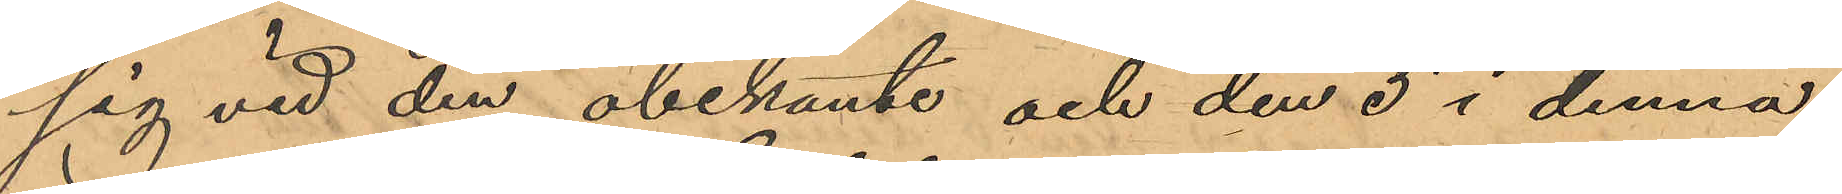sig vid den obekante och den 5 i denna
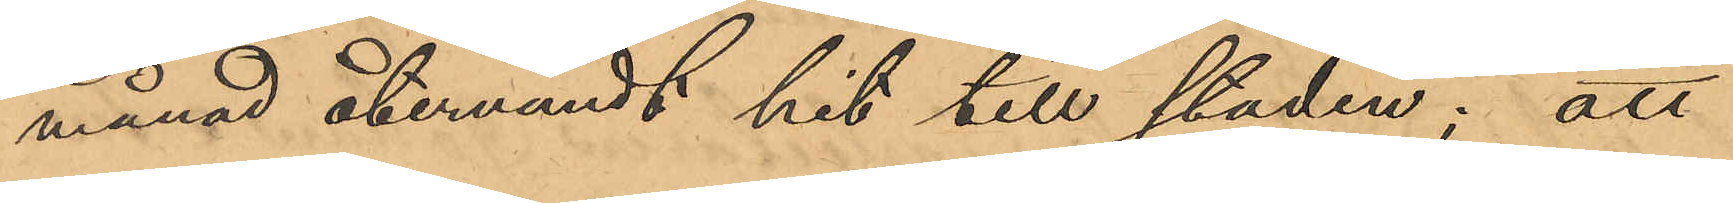månad återvändt hit till staden; att
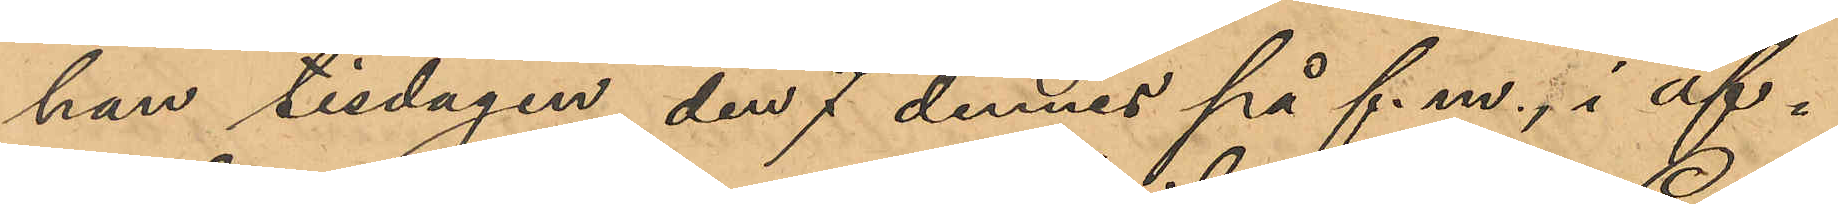han tisdagen den 7 dennes på f.m., i af¬
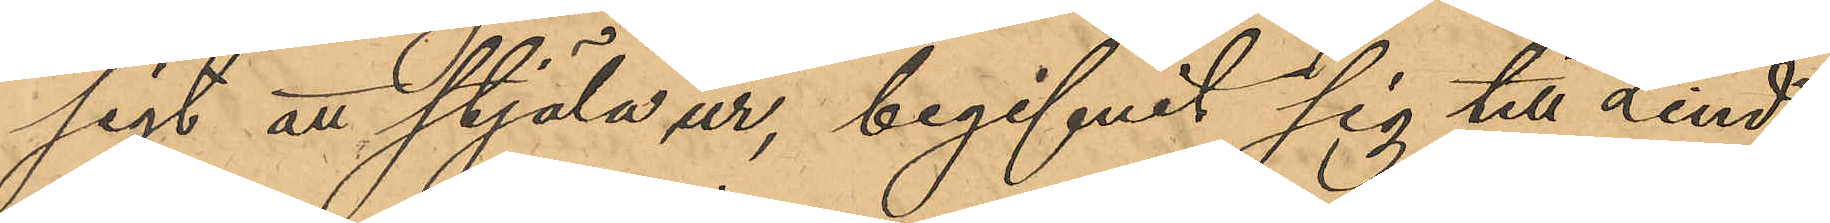sigt att stjäla ur, begifvit sig till Lind¬
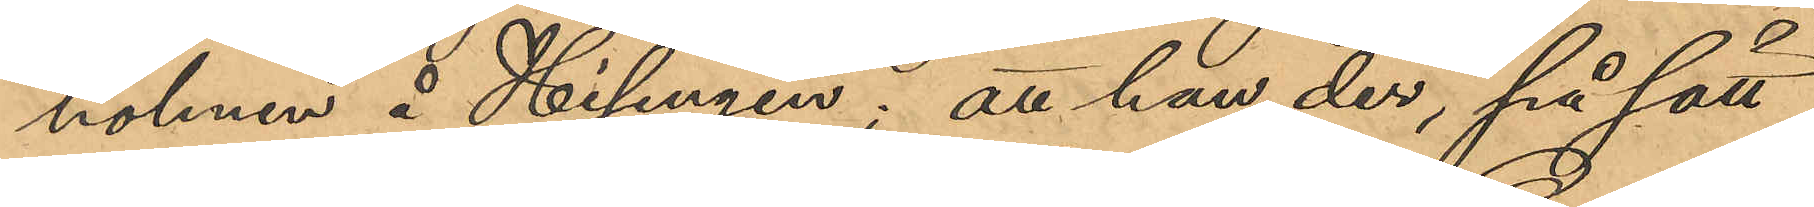holmen å Hisingen; att han der, på sätt
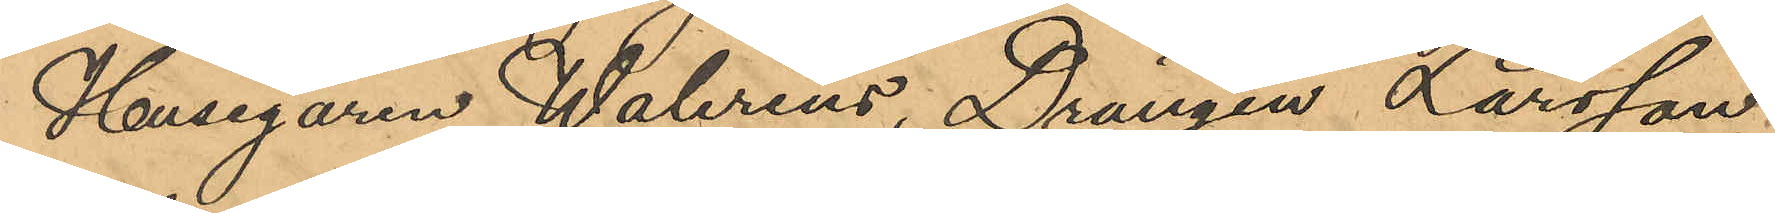Husegaren Walerius, Drängen Larsson
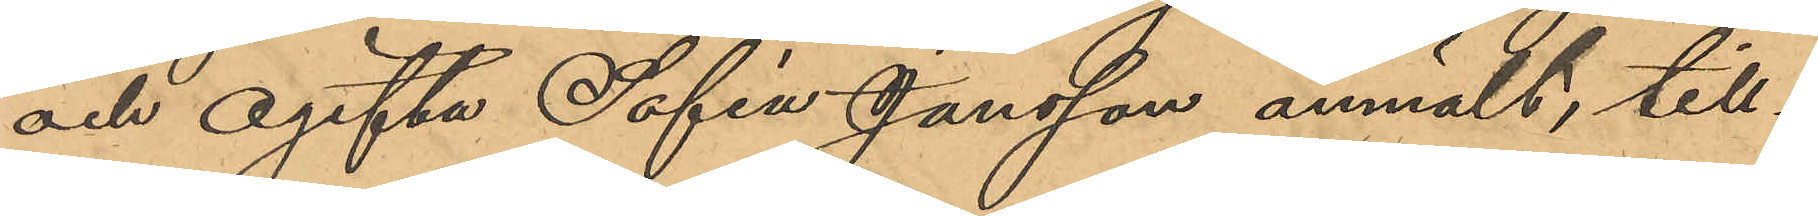och ogifta Sofia Jansson anmält, till¬
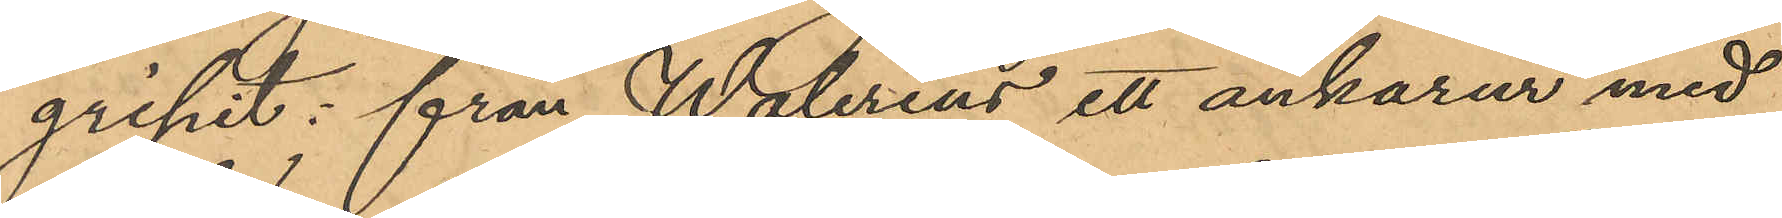gripit: från Walerius ett ankarur med
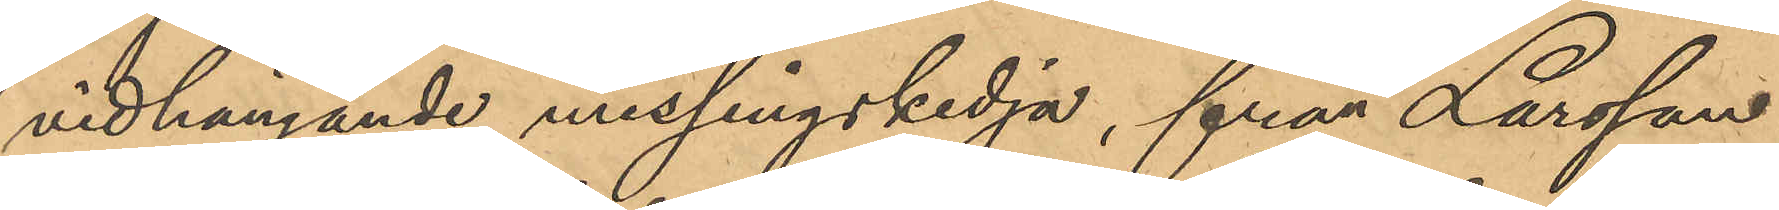vidhängande messingskedja, från Larsson
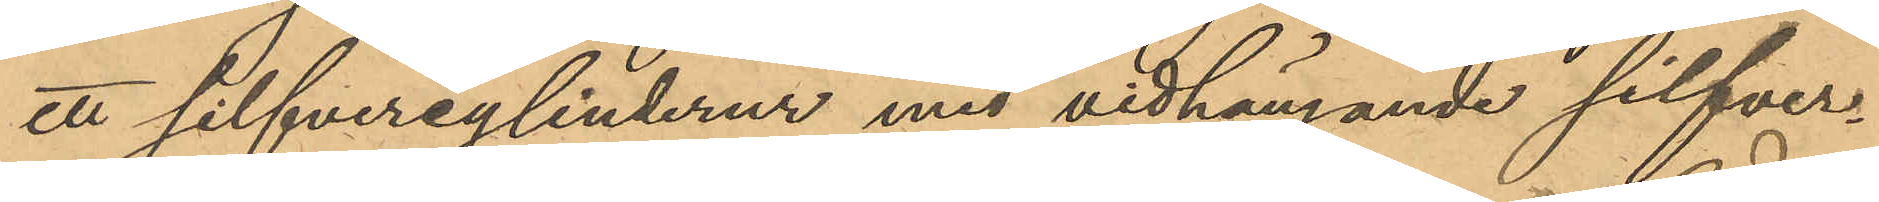ett silfvercylinderur med vidhängande silfver¬
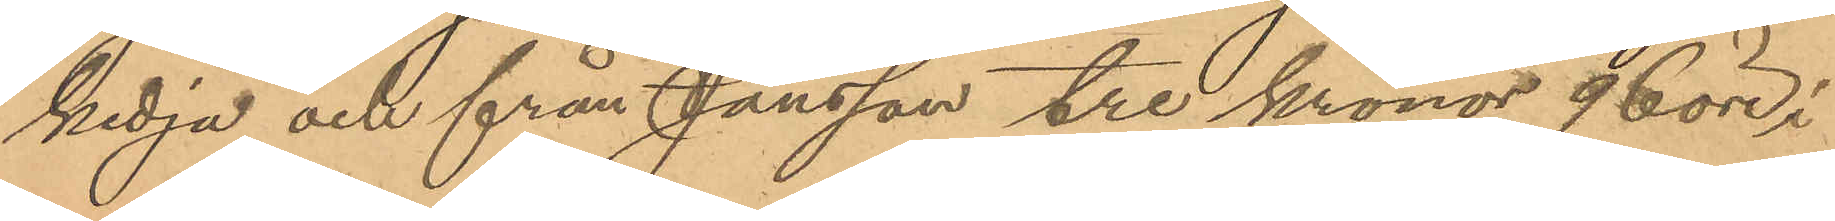kedja och från Jansson tre kronor 96 öre i
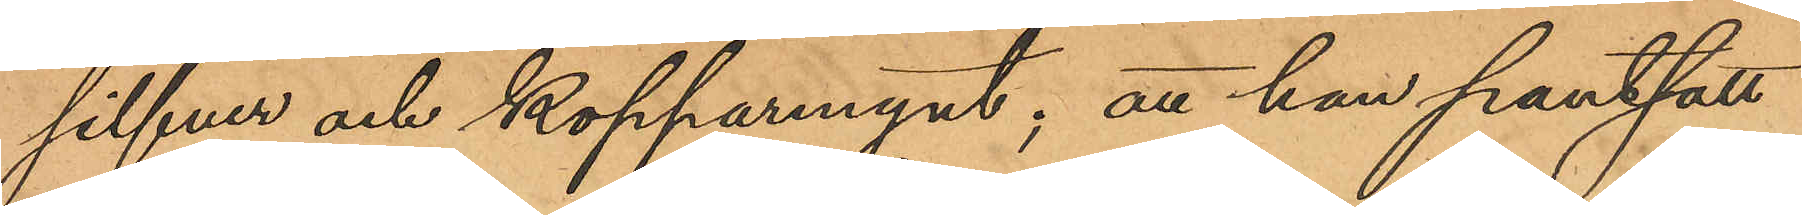silfver och kopparmynt; att han pantsatt
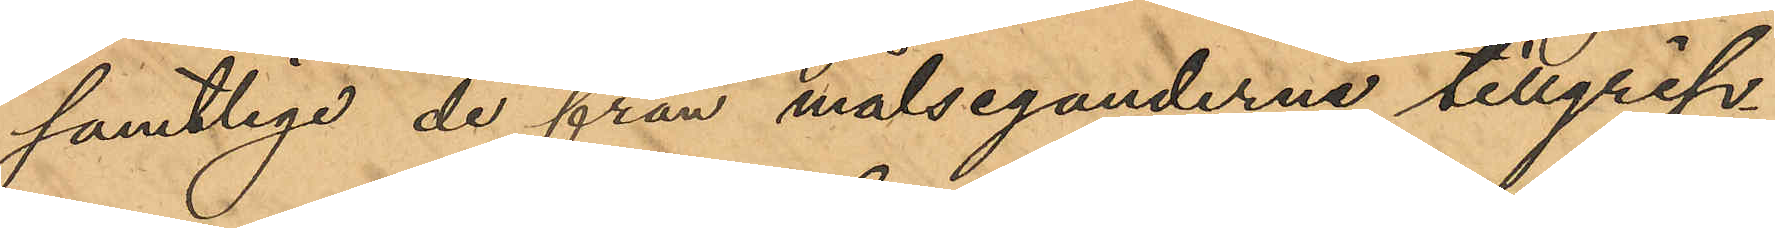samtlige de från målseganderne tillgrip¬
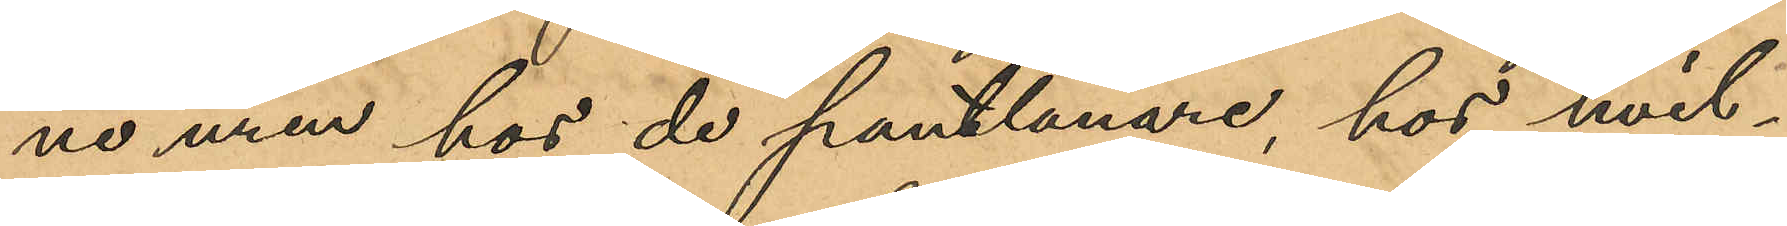ne uren hos de pantlånare, hos hvil¬
